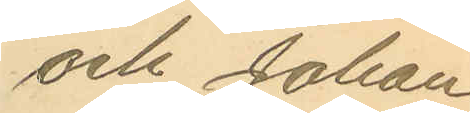och Johan
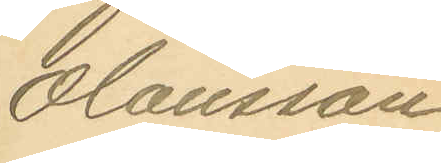Olausson
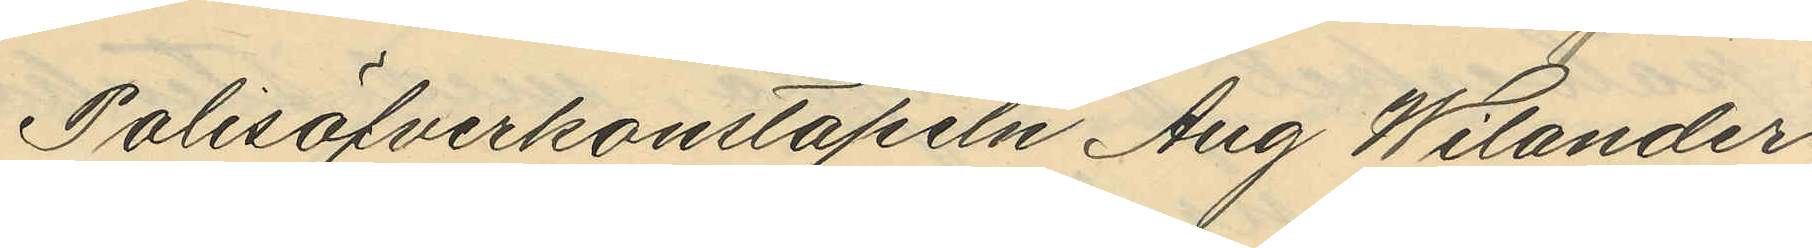Polisöfverkonstapeln Aug Wilander
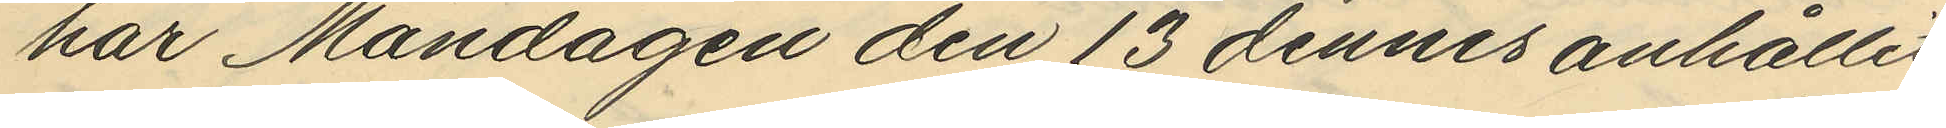har Måndagen den 13 dennes anhållit
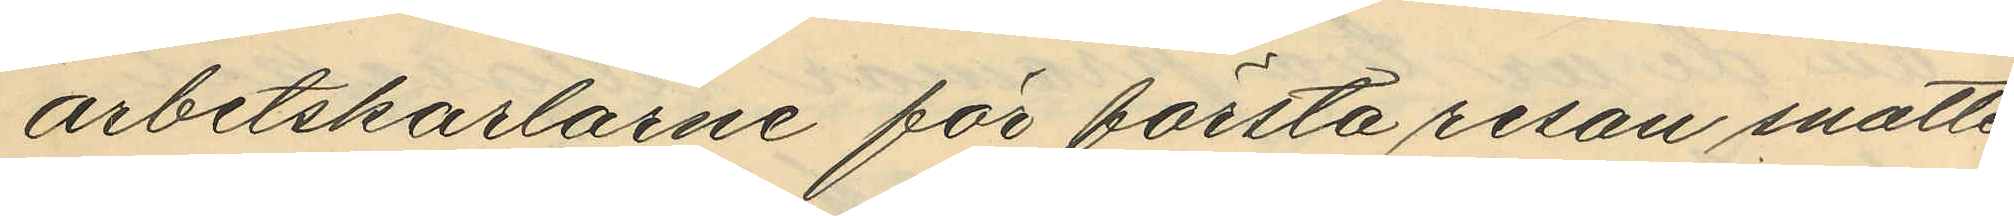arbetskarlarne för första resan snatte¬
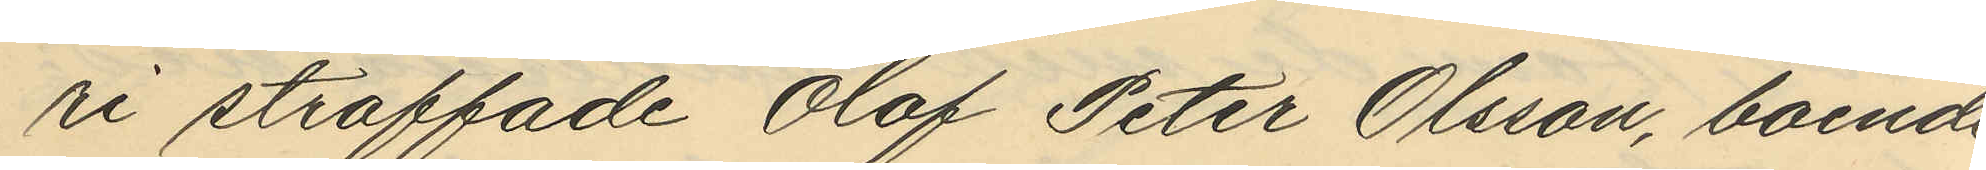ri straffade Olof Peter Olsson, boende
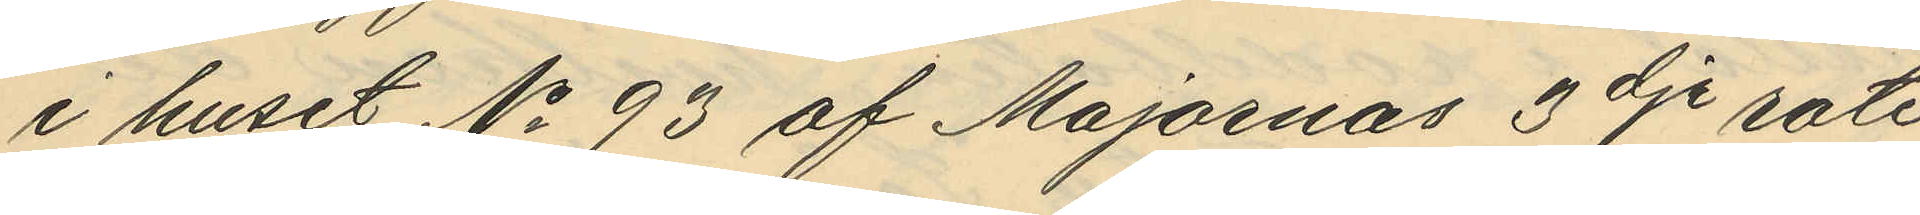i huset No 93 af Majornas 3dje rote
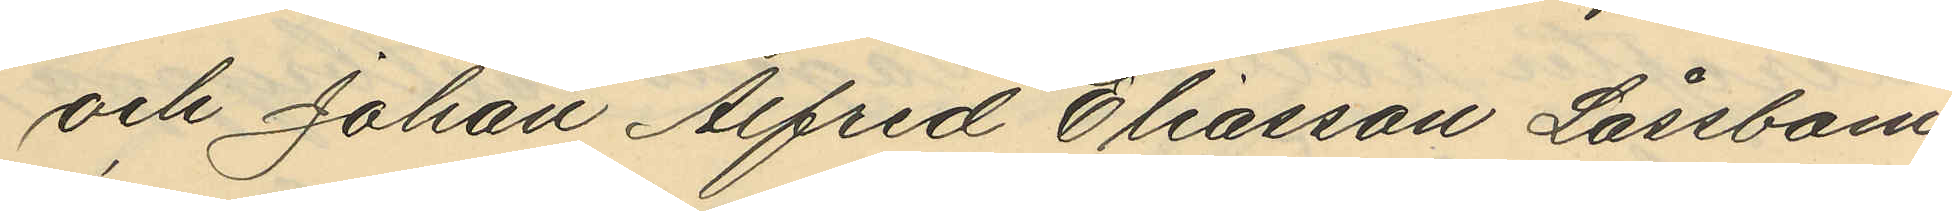och Johan Alfred Eliasson Låssbom,
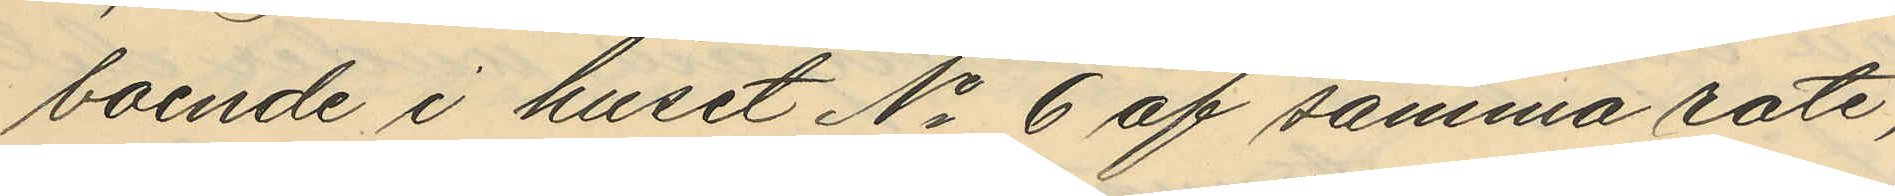boende i huset No 6 af samma rote,
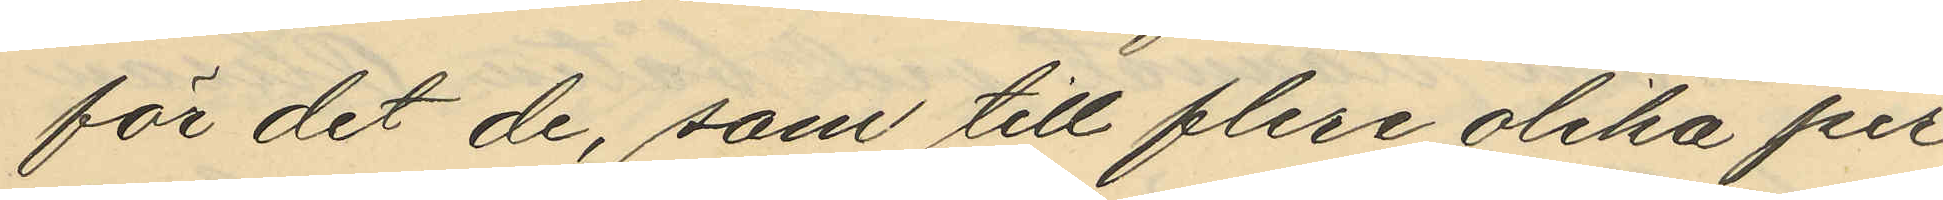för det de, som till flera olika per¬
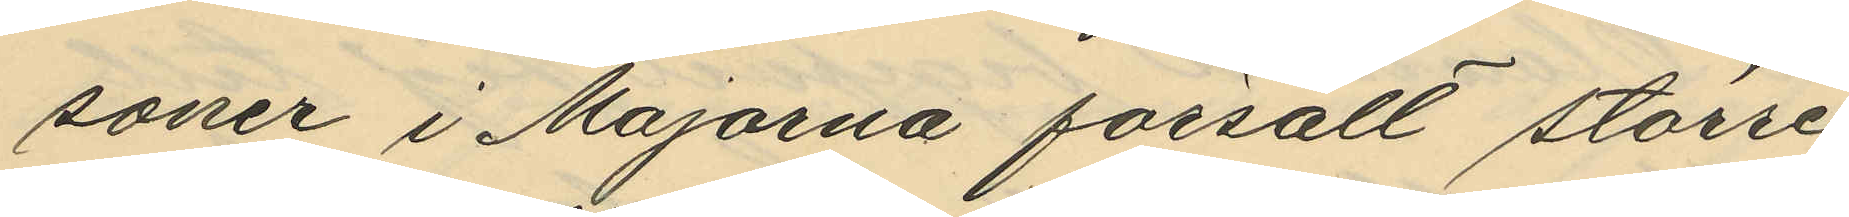soner i Majorna försålt större
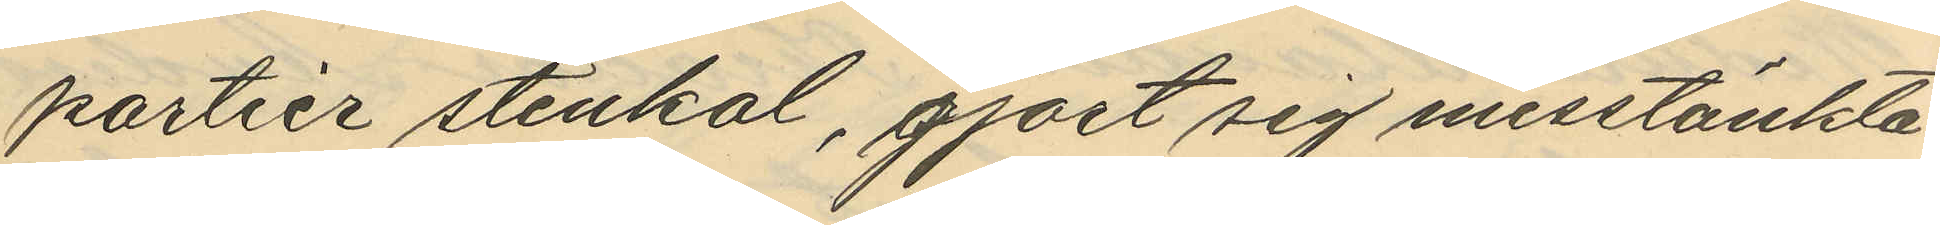partier stenkol, gjort sig misstänkte
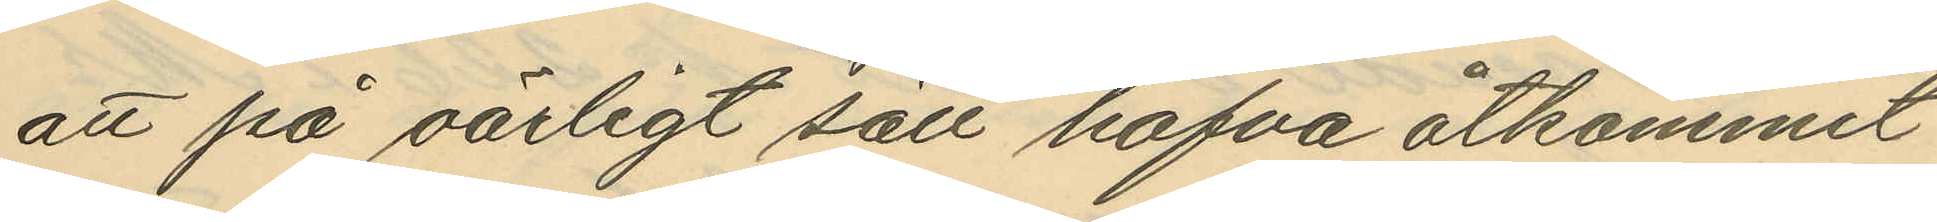att på oärligt sätt hafva åtkommit
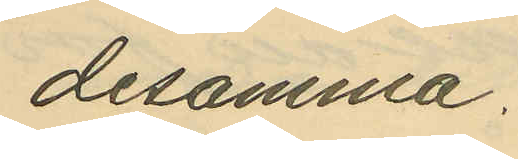desamma.
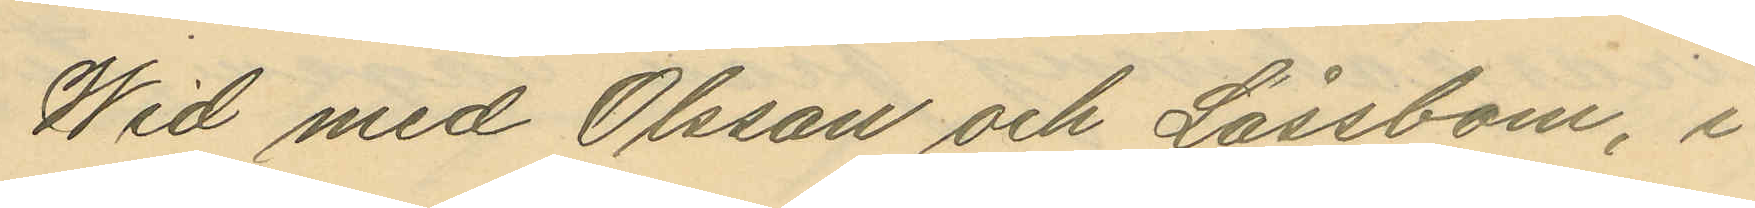Wid med Olsson och Låssbom, i
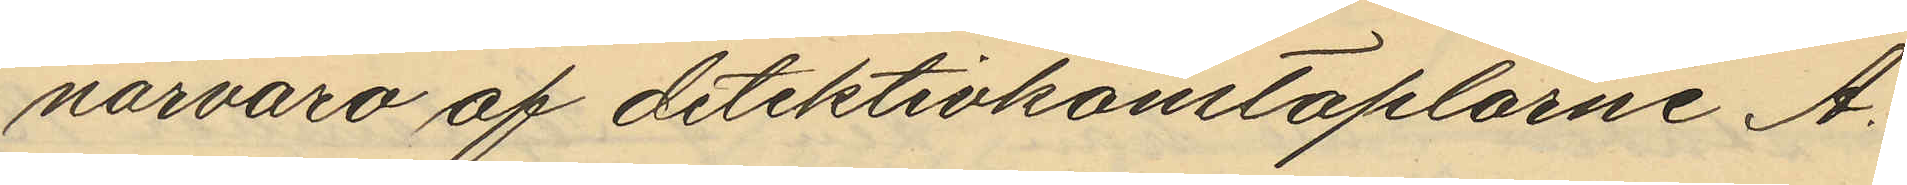närvaro af detektivkonstaplarne A.
